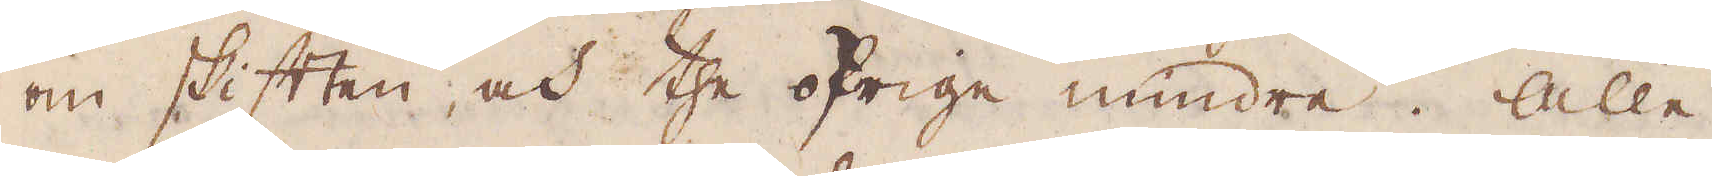om skiften, och the öfrige mindre. Alle
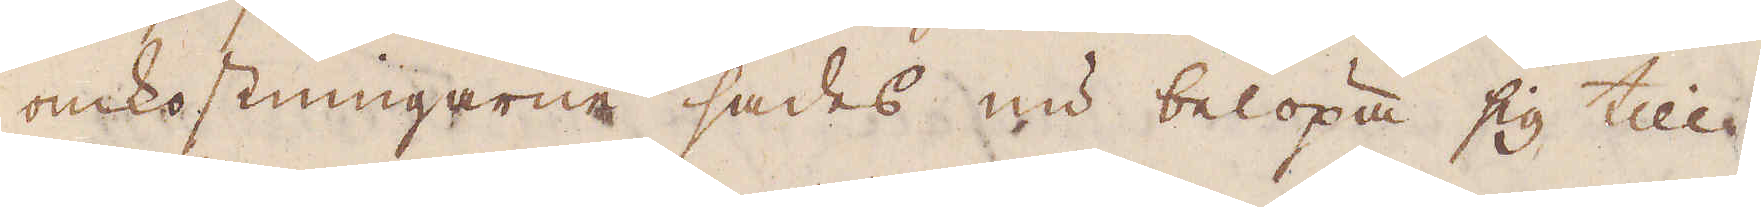omkostningarne sades nu belöpa sig till
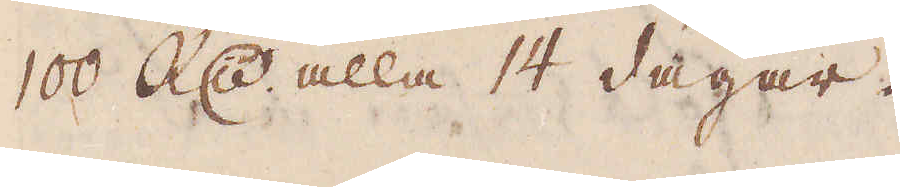100 R:dr alla 14 dagar.
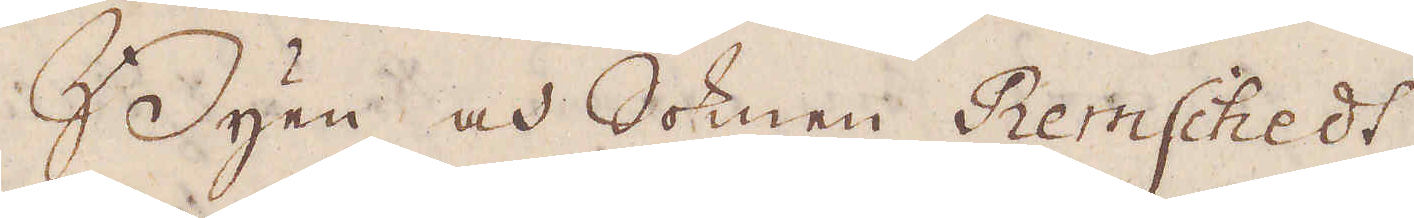Byen och Soknen Remschedt,
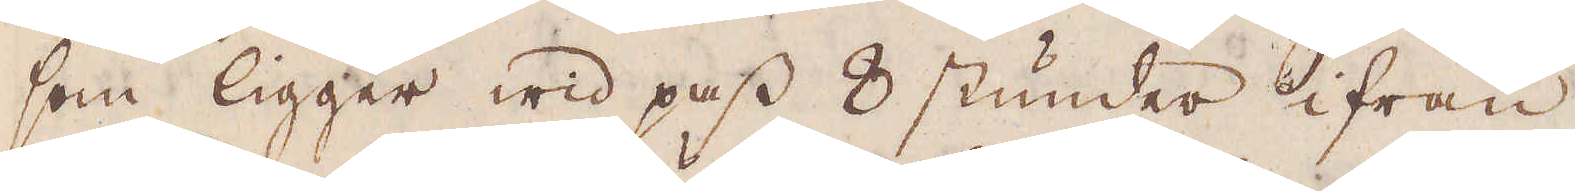som ligger wid pass 8 stunder ifrån
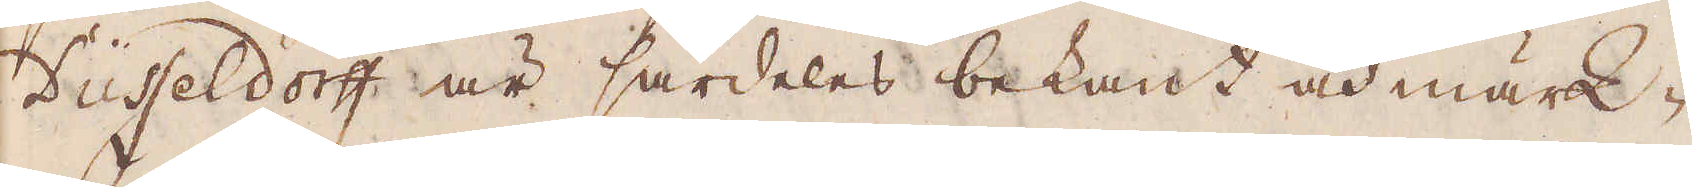Düsseldorff är särdeles bekant och märk-
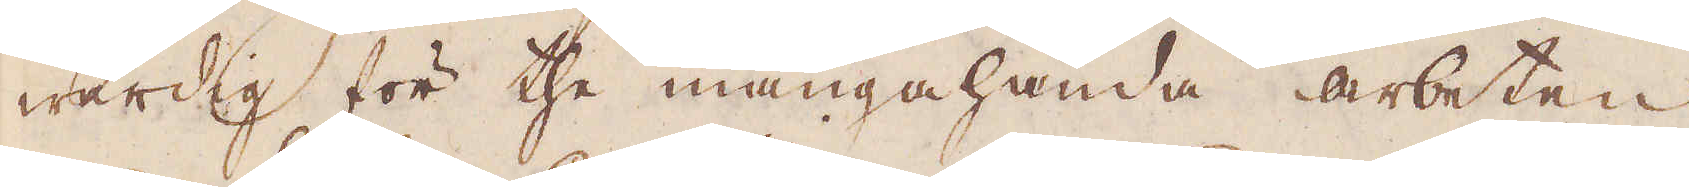wärdig för the mångahända arbeten
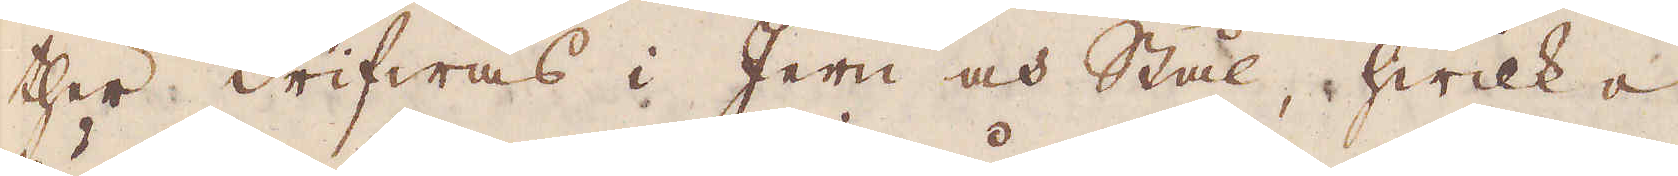ther drifwas i Jern och Stål, hwilka
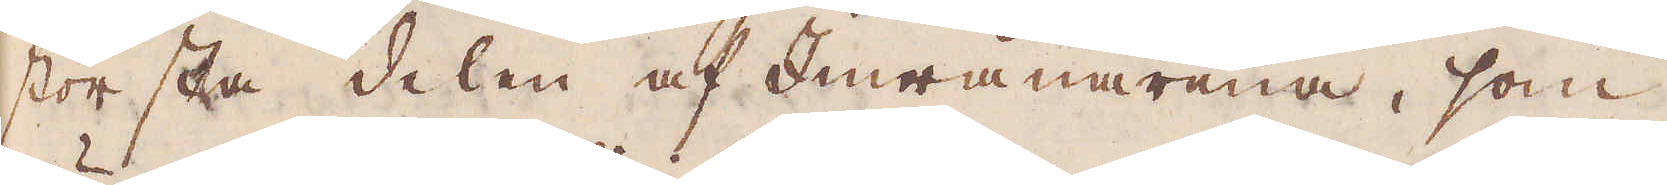största delen af Inwånarena, som
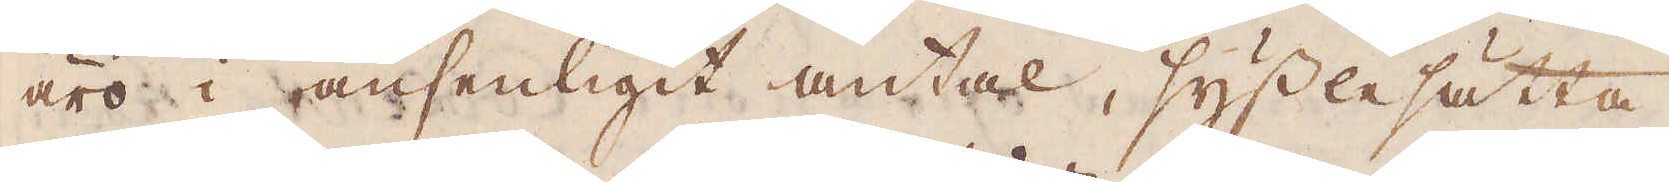äro i ansenligit antal, sysslesätta.
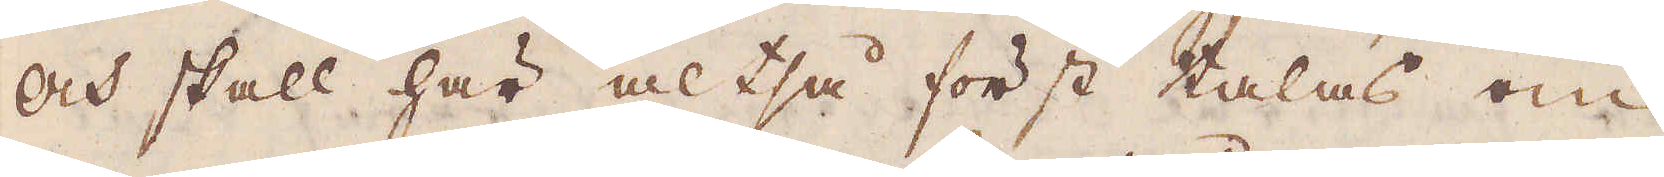Och skall här altså först talas om
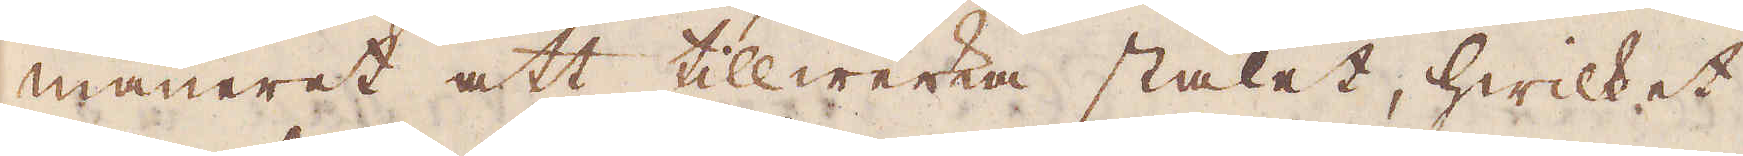maneret att tillwerka stålet, hwilket
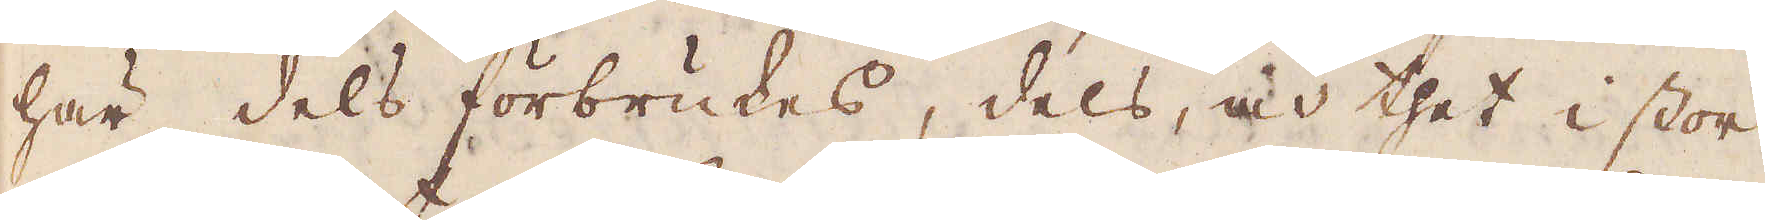här dels förbrukes, dels, och thet i stor
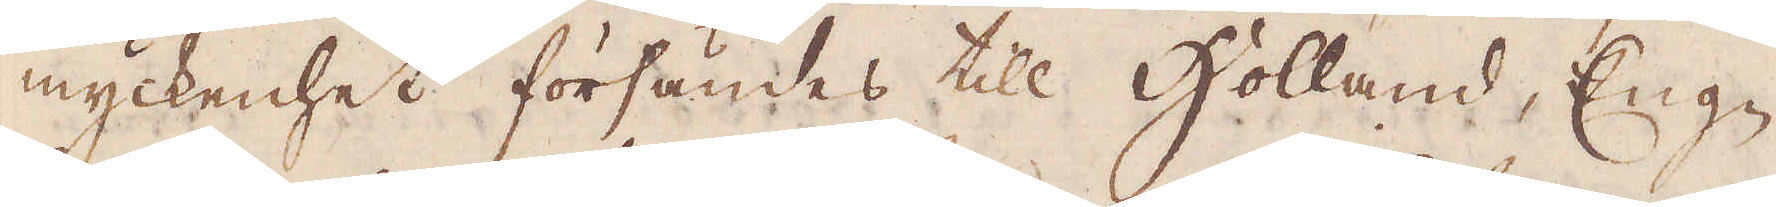myckenhet försändes till Holland, Eng-
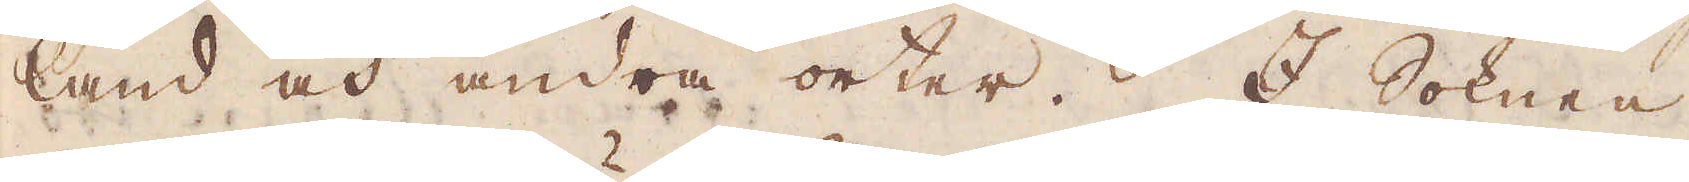land och andra orter. I Soknen
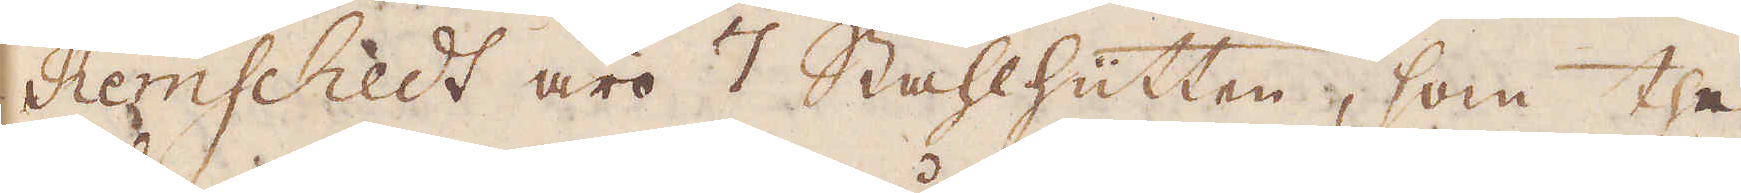Remschedt äro 7 Stahlhütten, som the
